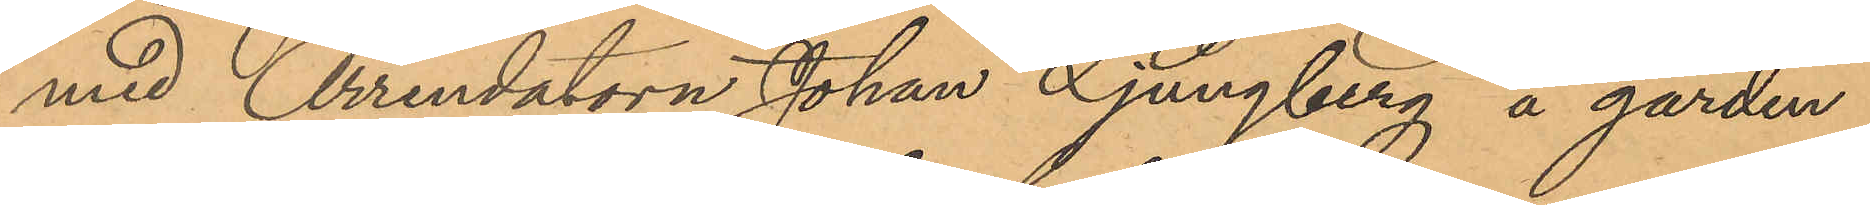med Arrendatorn Johan Ljungberg å gården
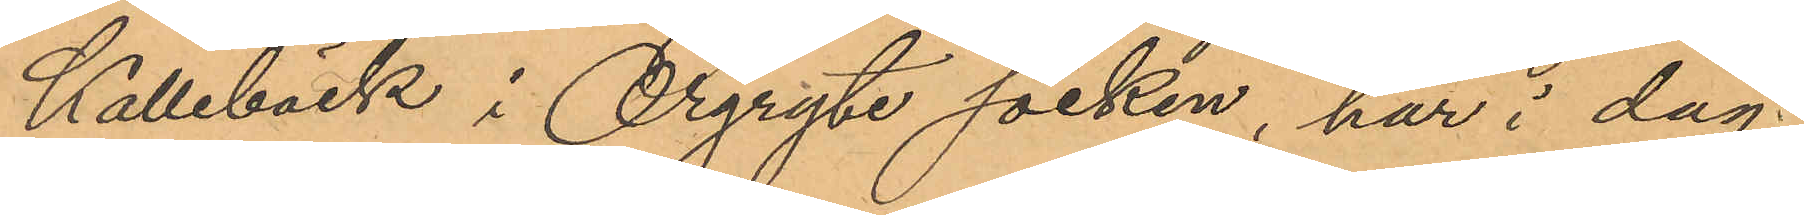Kallebäck i Örgryte socken har i dag
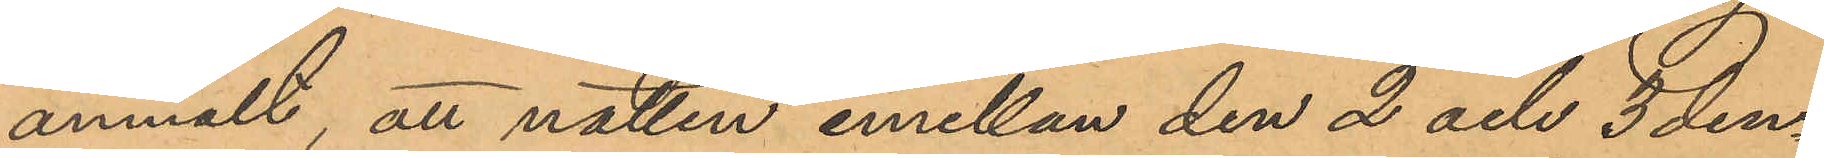anmält, att natten emellan den 2 och 3 den¬
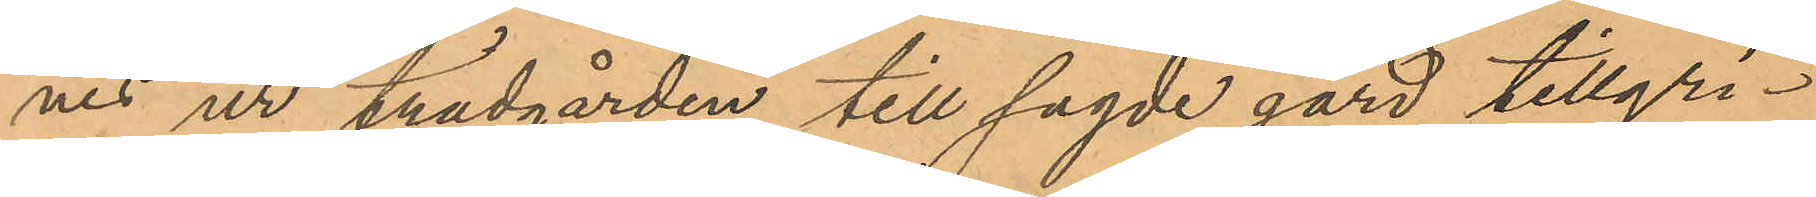nes ur trädgården till sagde gård tillgri¬
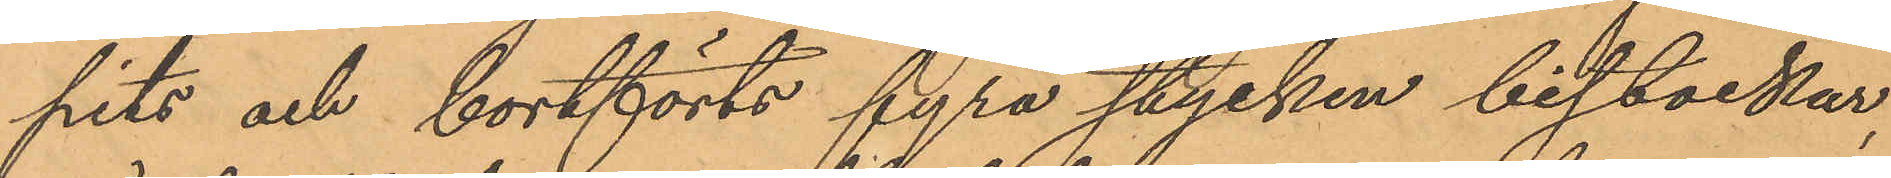pits och bortförts fyra stycken bistockar,
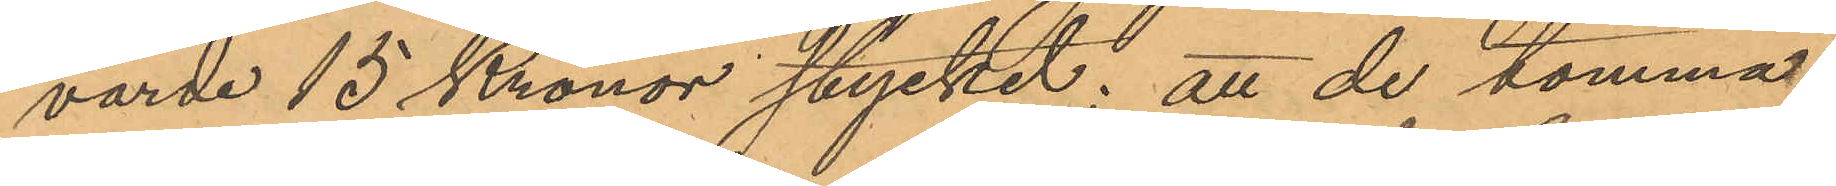värde 15 Kronor stycket; att de tomma
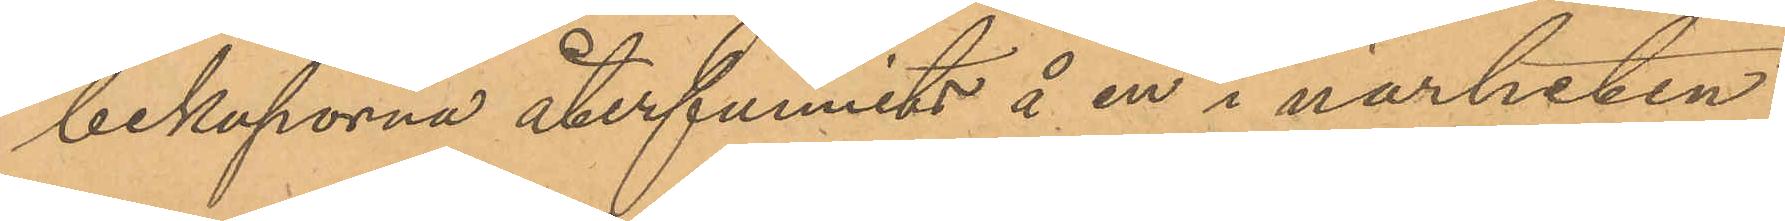bikuporna återfunnits å en i närheten
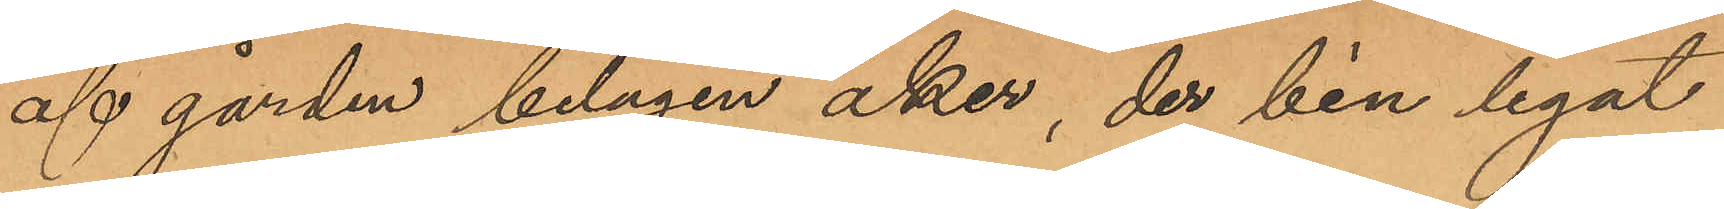af gården belägen åker, der bin legat
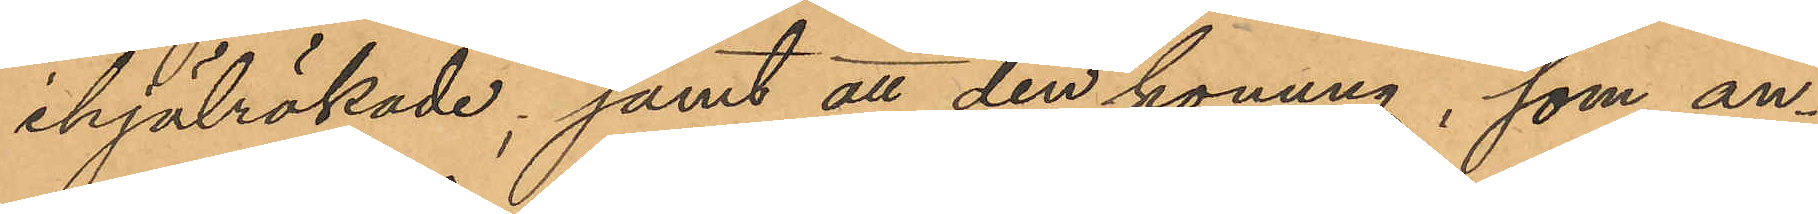ihjälrökade; samt att den honung, som an¬
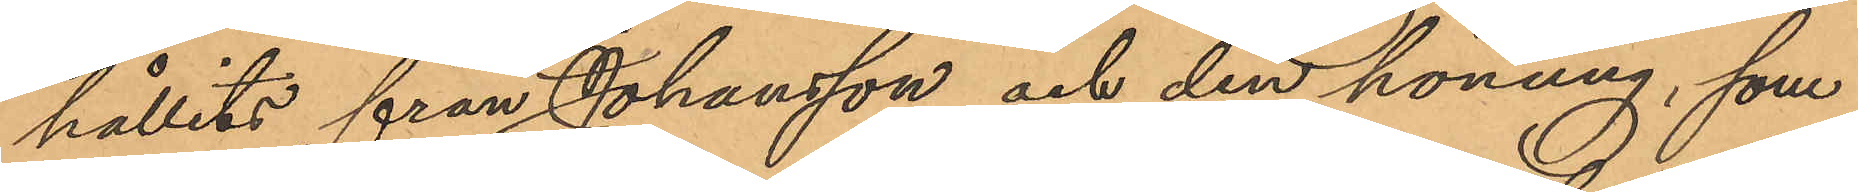hållits från Johansson och den honung, som
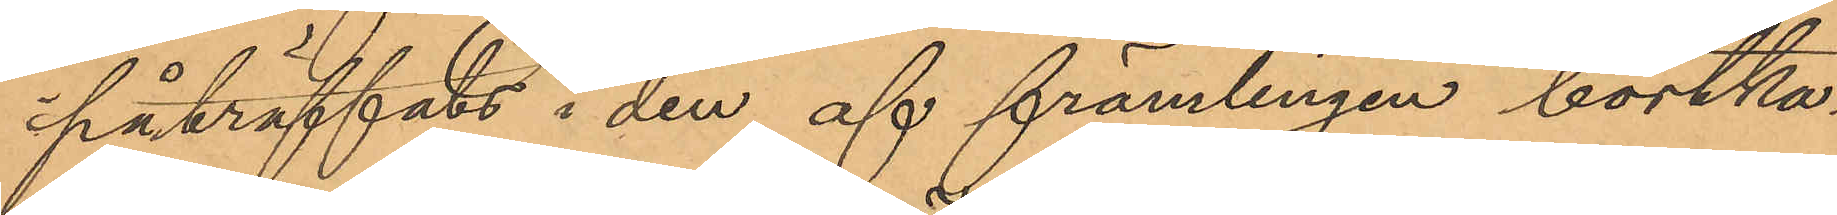påträffats i den af främlingen bortka¬
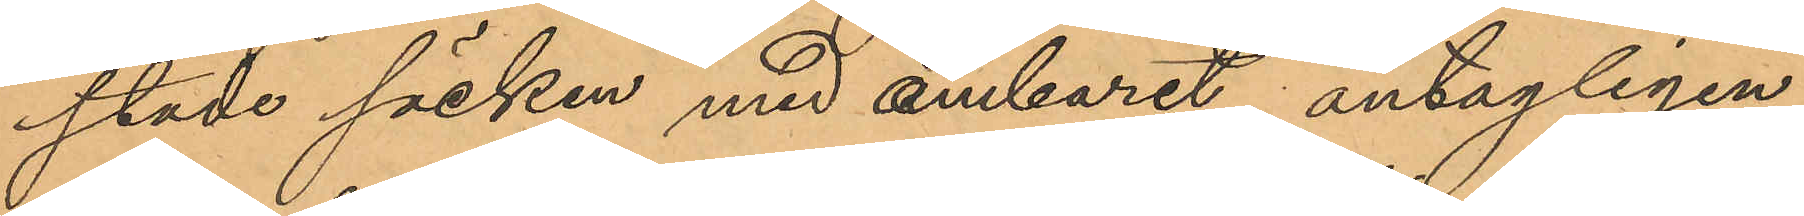stade säcken med ämbaret, antagligen
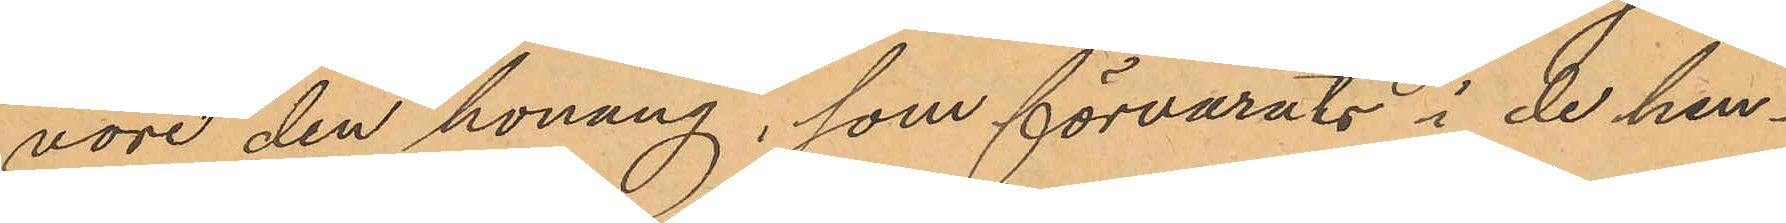vore den honung, som förvarats i de hen¬
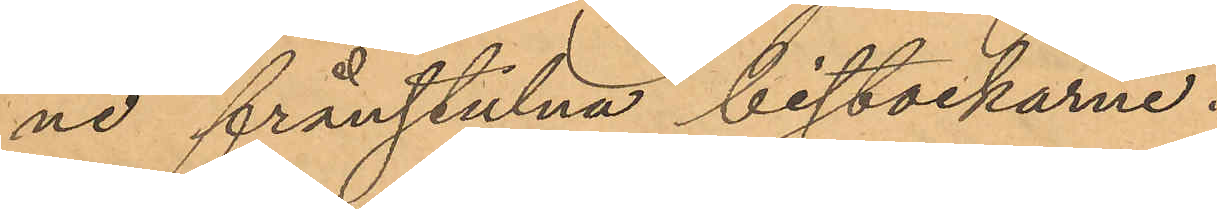ne frånstulna bistockarne.
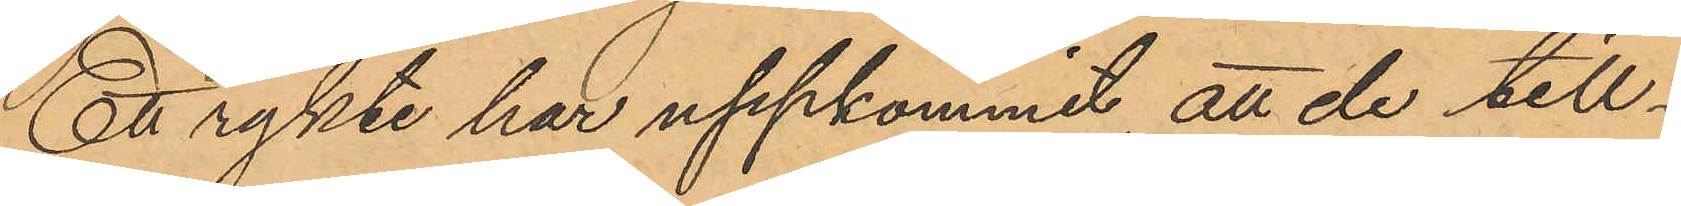Ett rykte har uppkommit, att de till¬
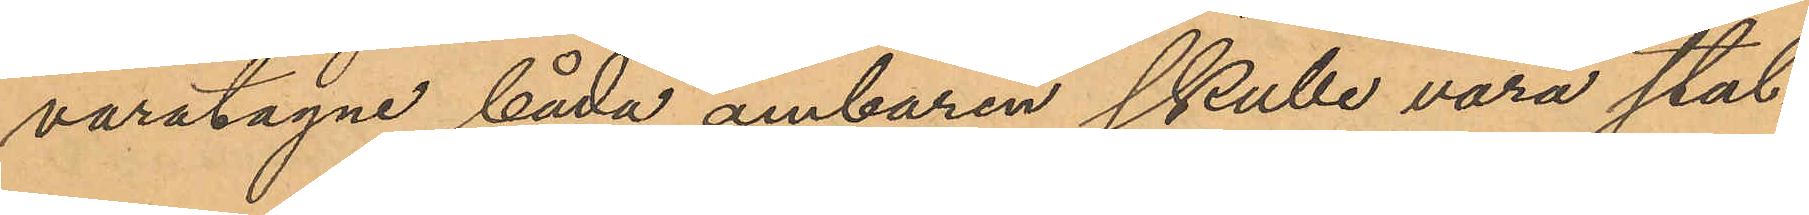varatagne båda ämbaren skulle vara stul¬
